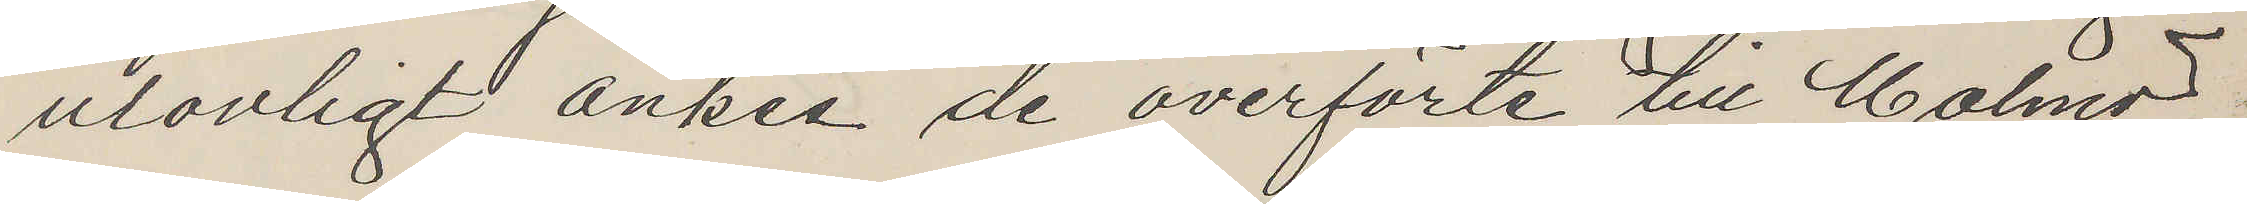ulovligt änkes de överförte till Malmö
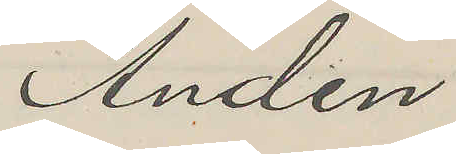Anden
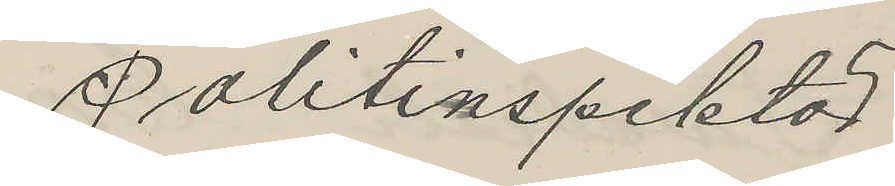Politinspektör
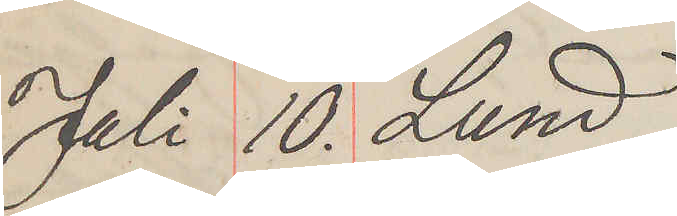Juli 10. Lund
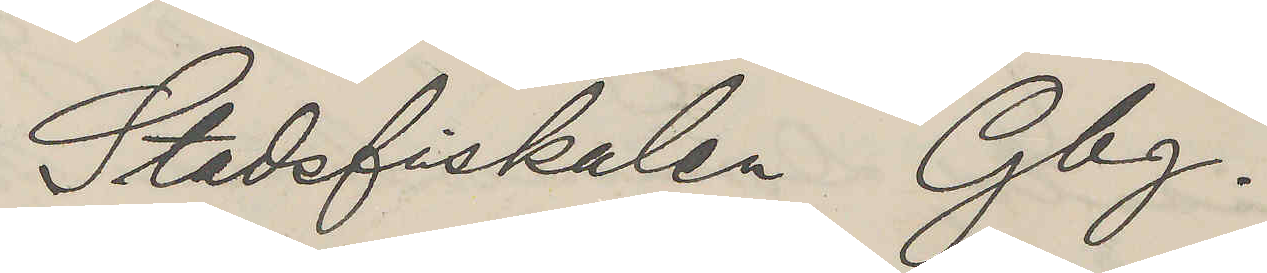Stadsfiskalen Gbg.
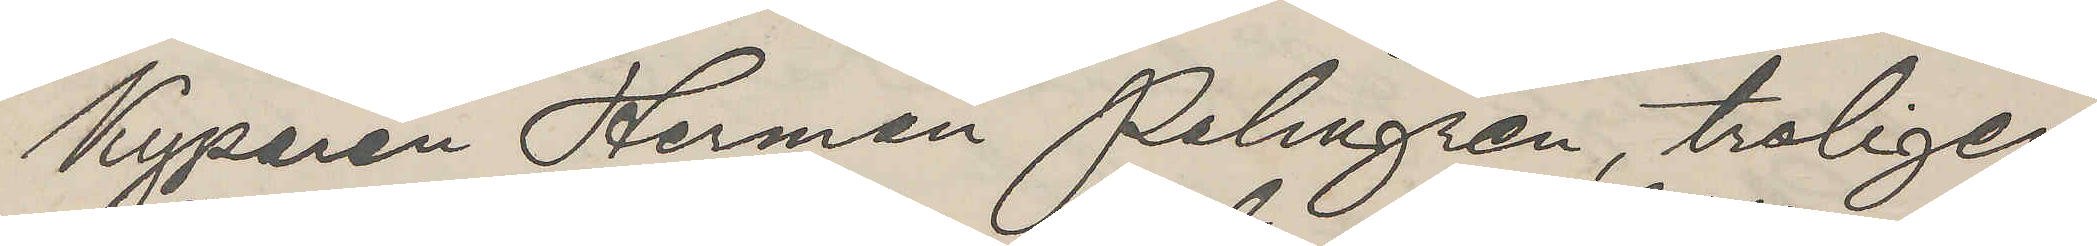Kyparen Herman Palmgren, troligen
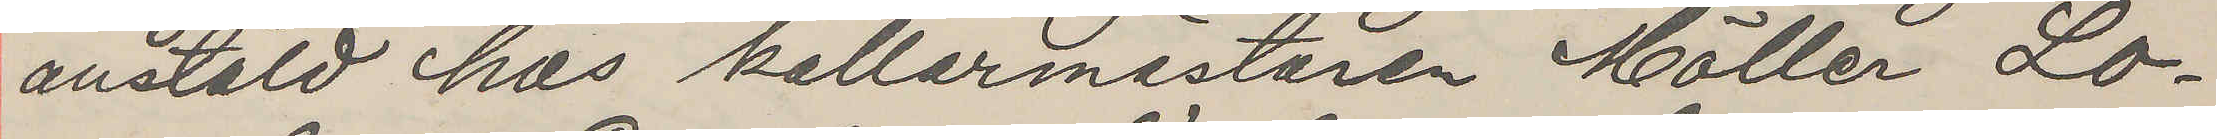anstäld hos källarmästaren Möller Lo¬
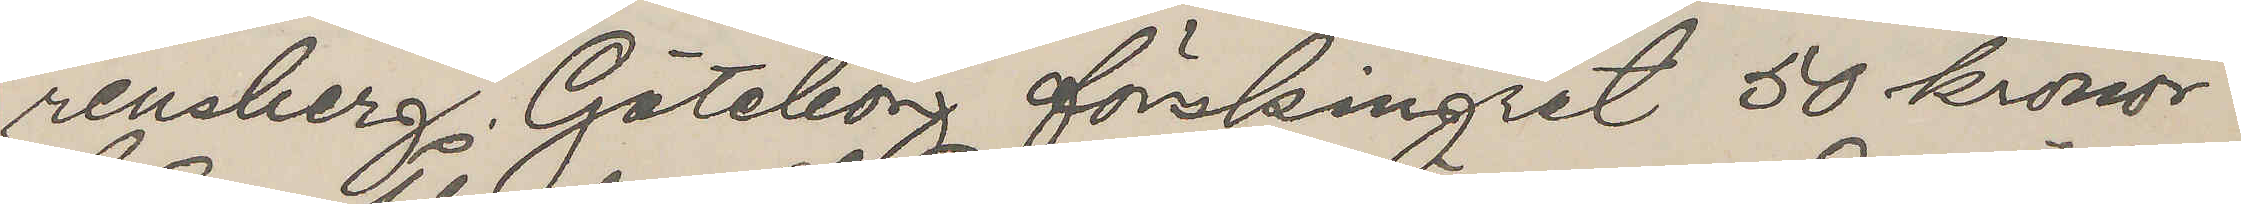rensberg Göteborg förskingrat 50 kronor
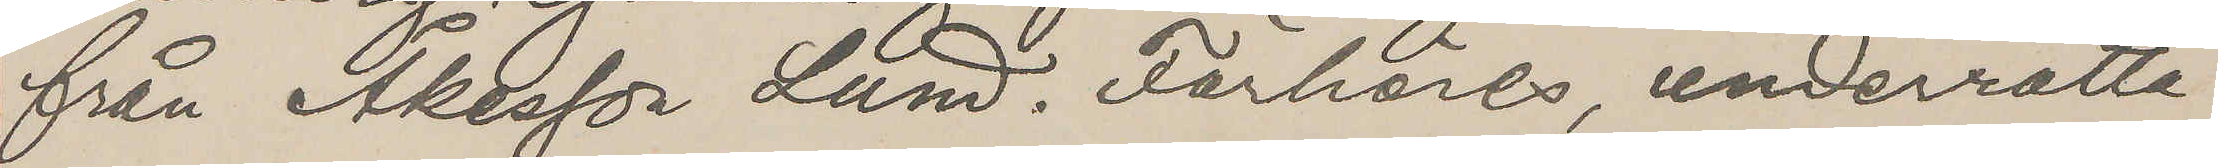från Åkesson Lund. Förhöres, underrätta
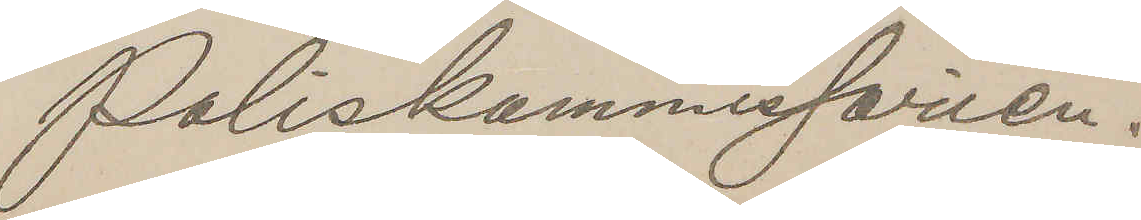Poliskommissarien.
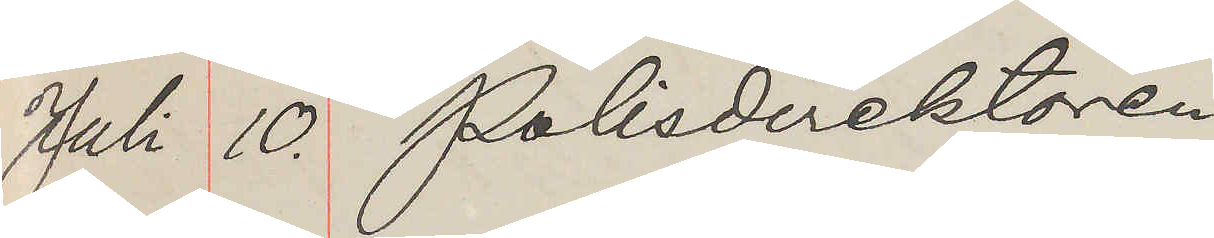Juli 10. Polisdirektören
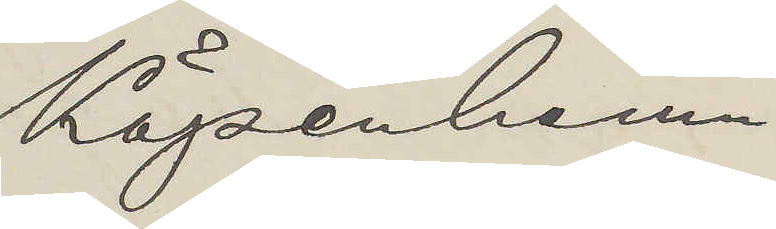Köpenhamn
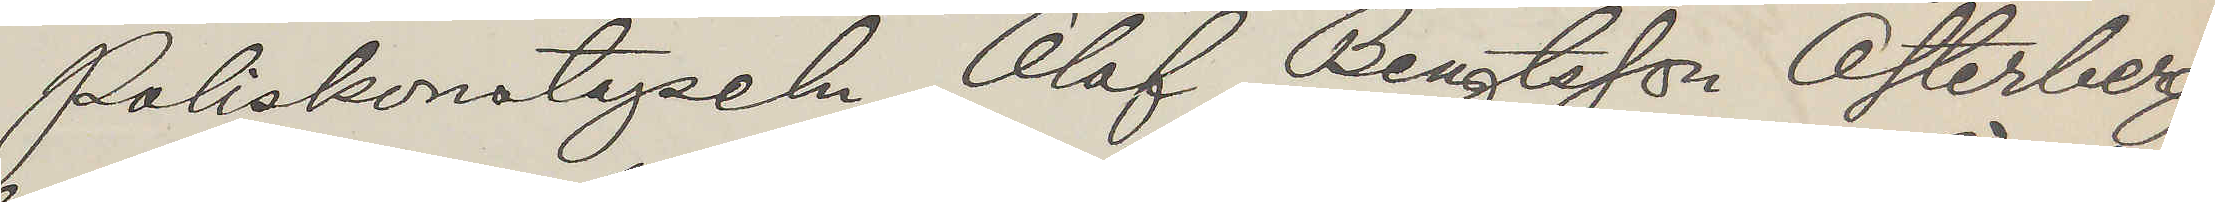Poliskonstapeln Olof Bengtsson Österberg,
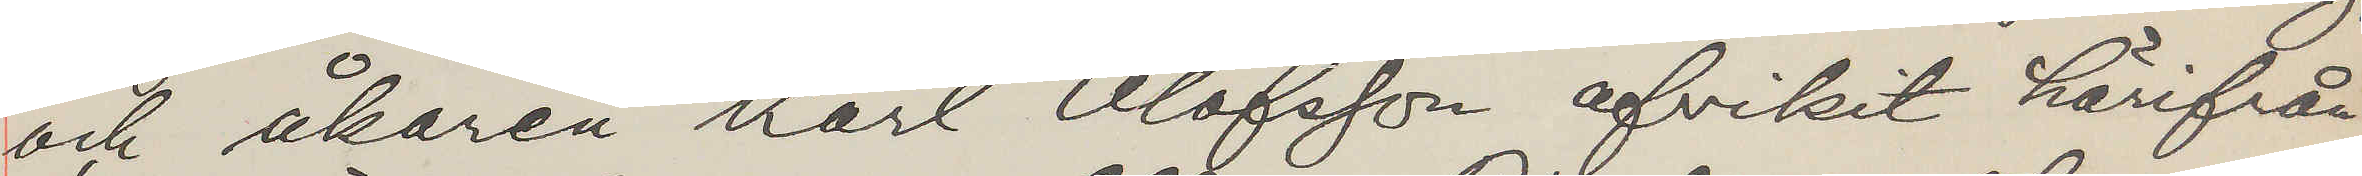och åkaren Karl Olofsson afvikit härifrån
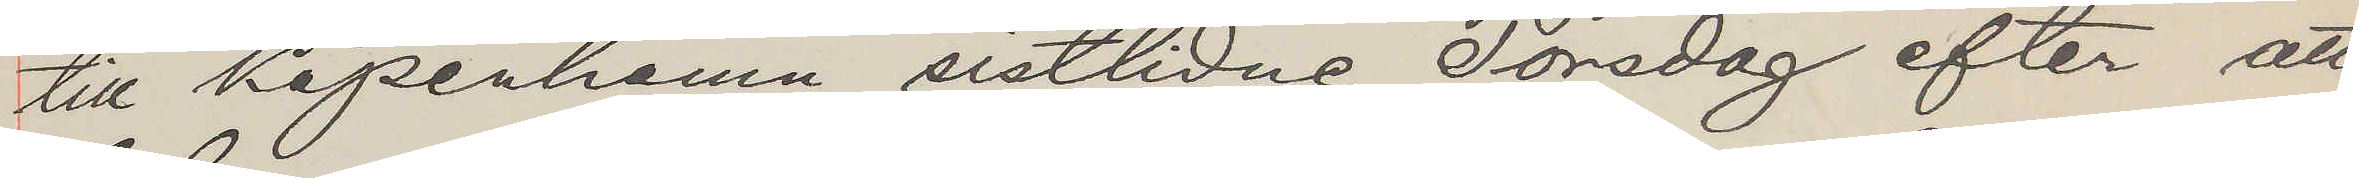till Köpenhamn sistlidne Torsdag efter att
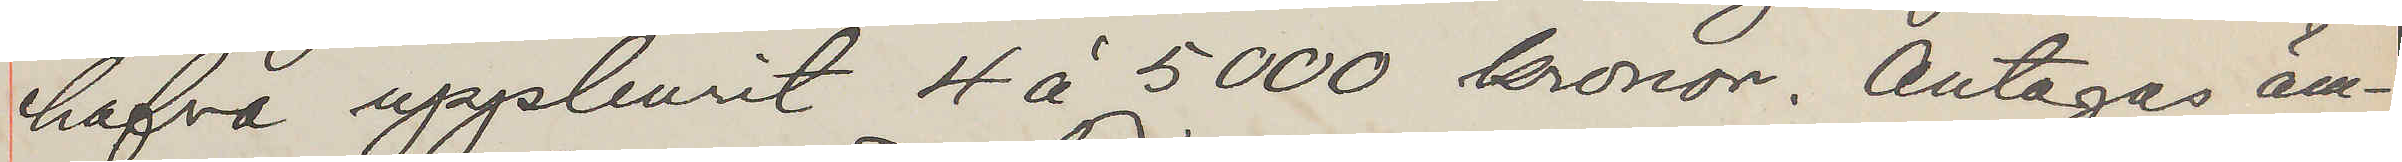hafva uppburit 4 å 5000 kronor, Antagas äm¬
